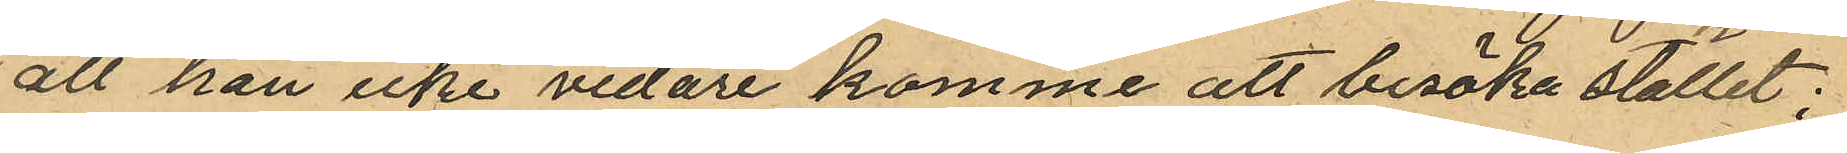att han icke vidare komme att besöka stället;
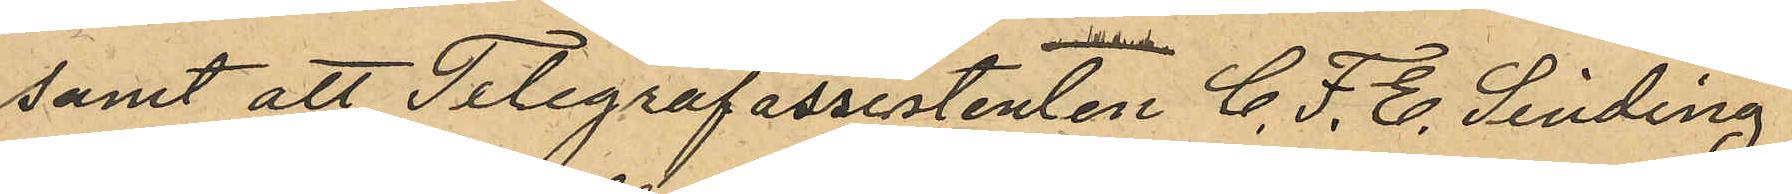samt att Telegrafassistenten C. F. C. Linding
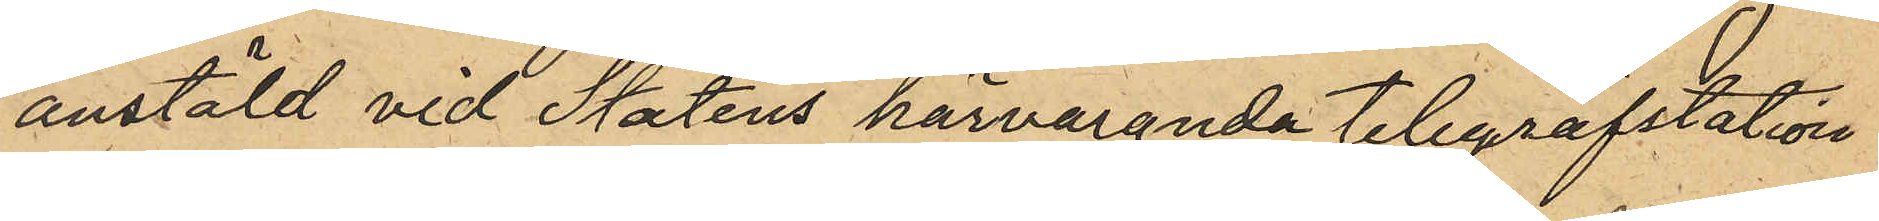anstäld vid Statens härvarande telegrafstation
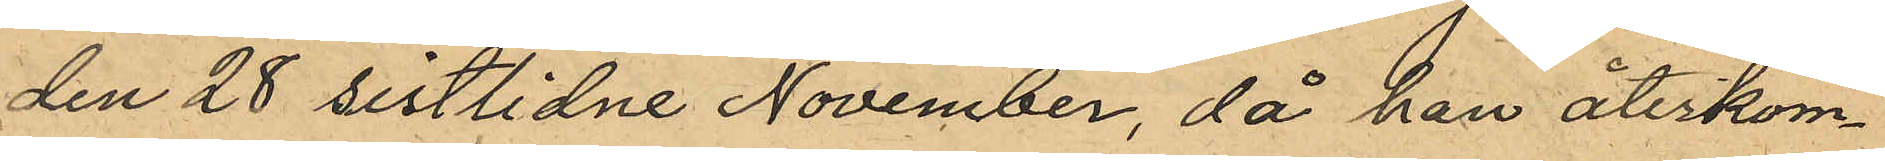den 28 sistlidne November, då han återkom¬
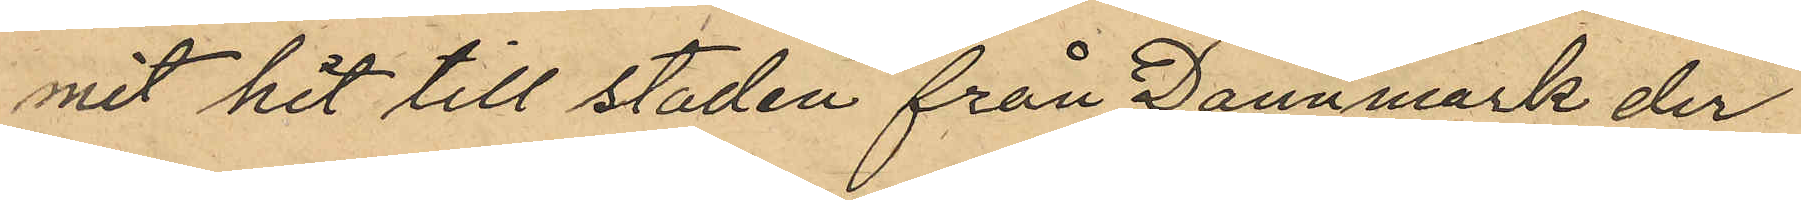mit hit till staden från Dannmark der
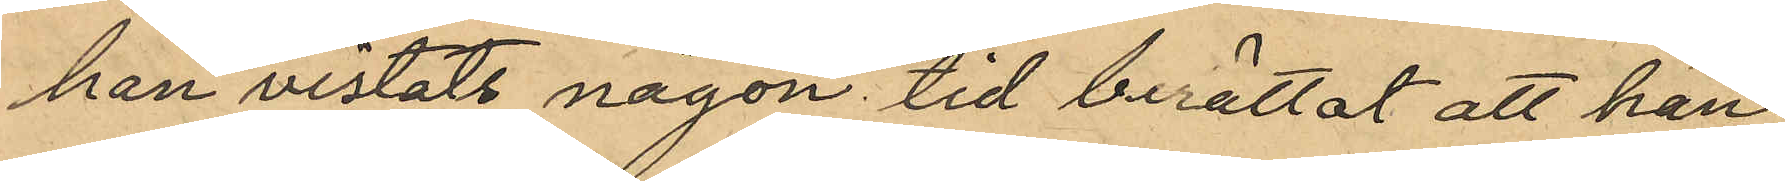han vistats någon tid berättat att han
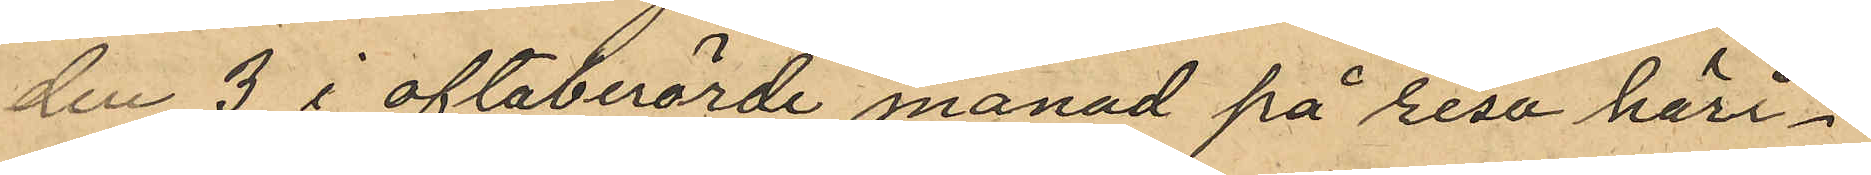den 3 i oftaberörde månad på resa häri¬
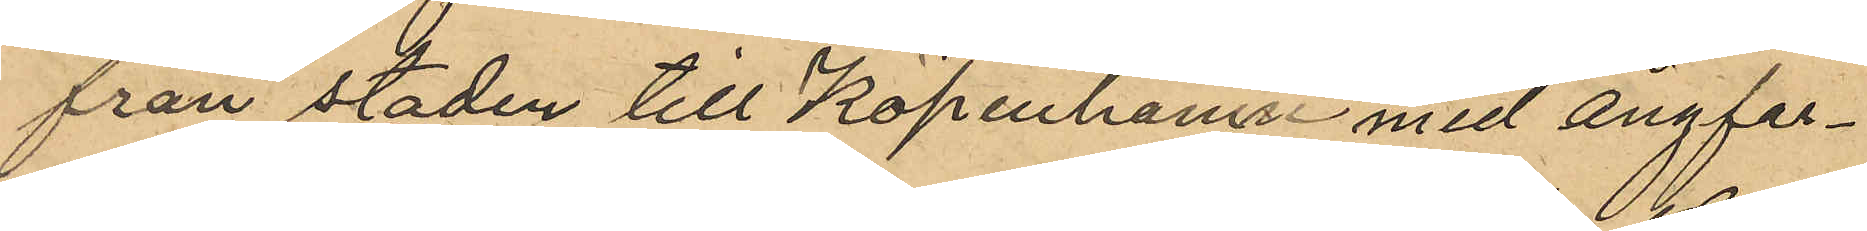från staden till Köpenhamn med ångfar¬
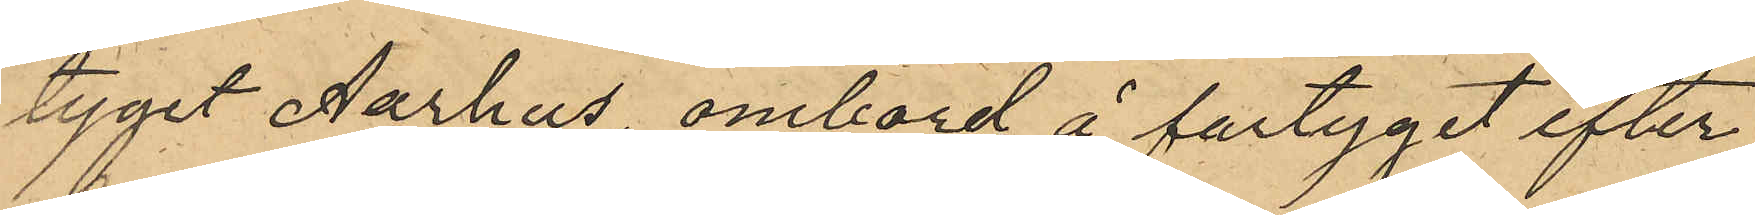tyget Aarhus, ombord å fartyget efter
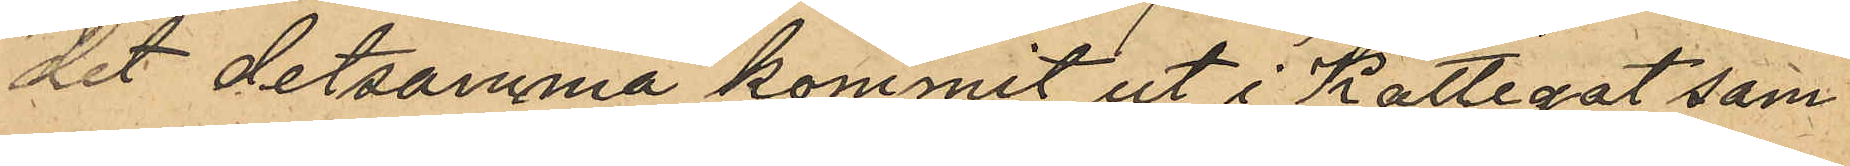det detsamma kommit ut i Kattegat sam¬
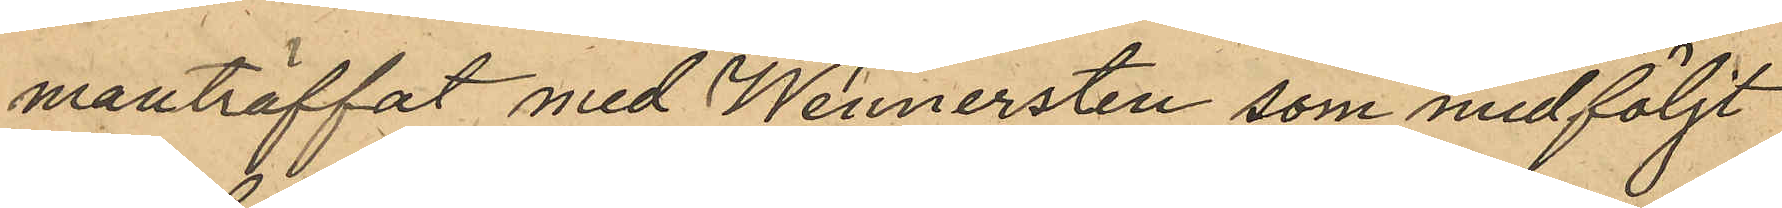manträffat med Wennersten som medföljt
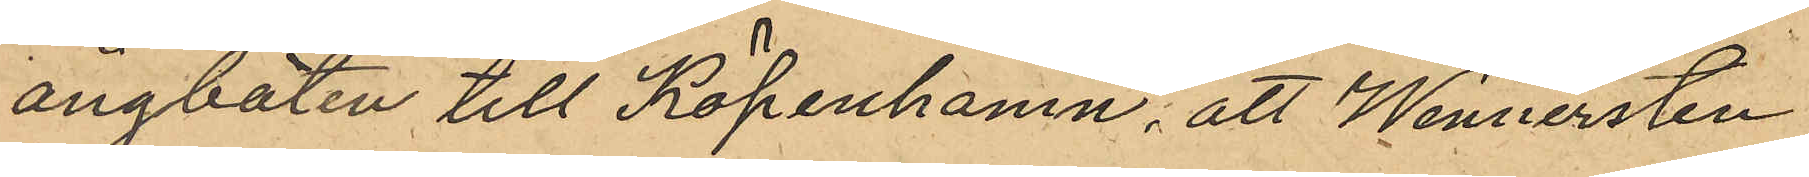ångbåten till Köpenhamn; att Wennersten
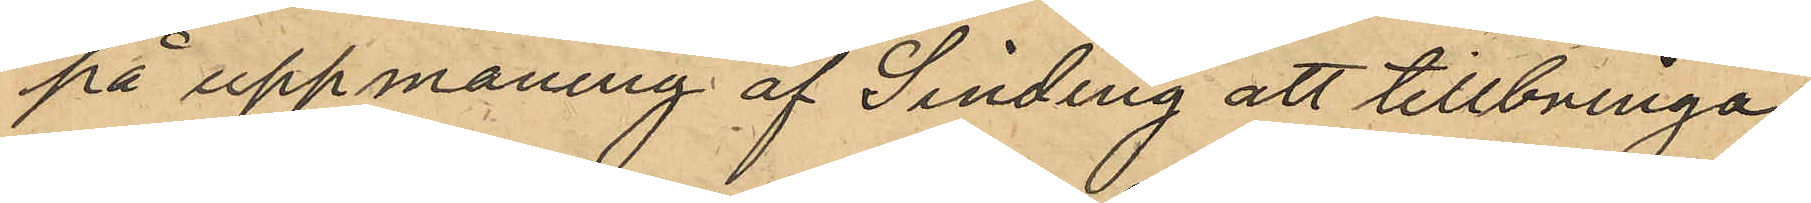på uppmaning af Sinding att tillbringa
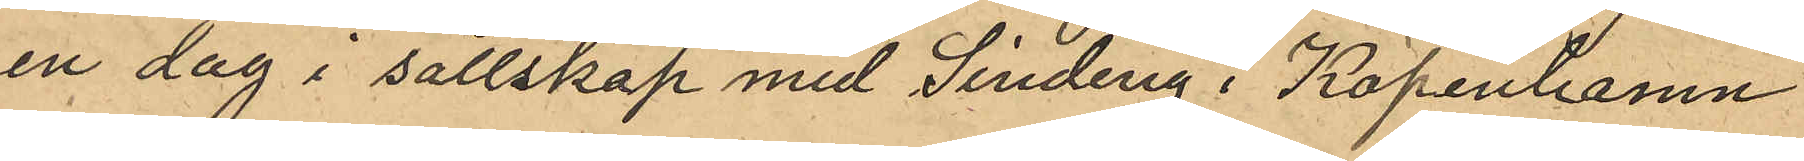en dag i sällskap med Sinding i Köpenhamn
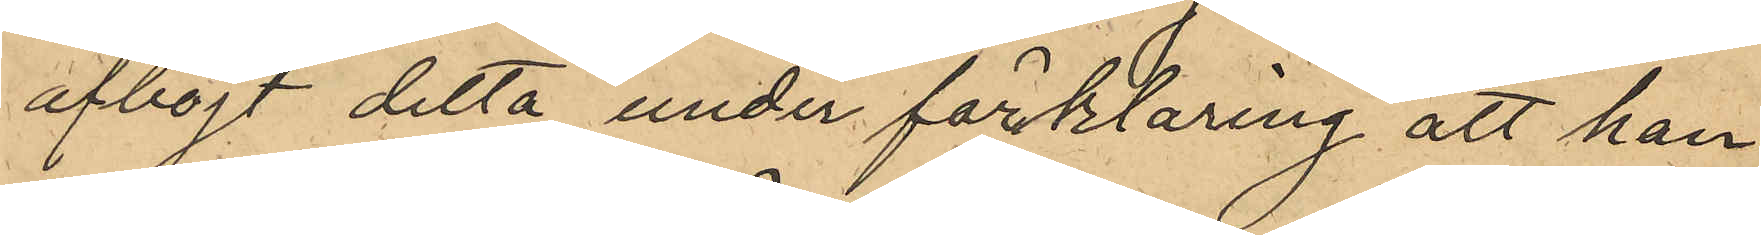afböjt detta under förklaring att han
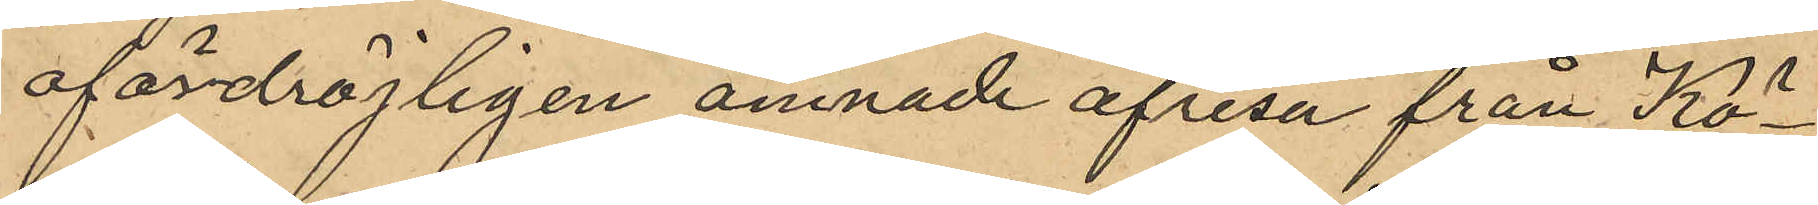ofördröjligen ämnade afresa från Kö¬
